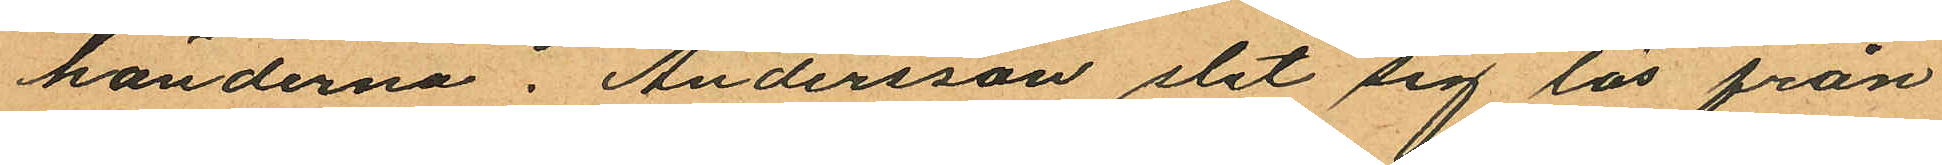händerna. Andersson slet sig lös från
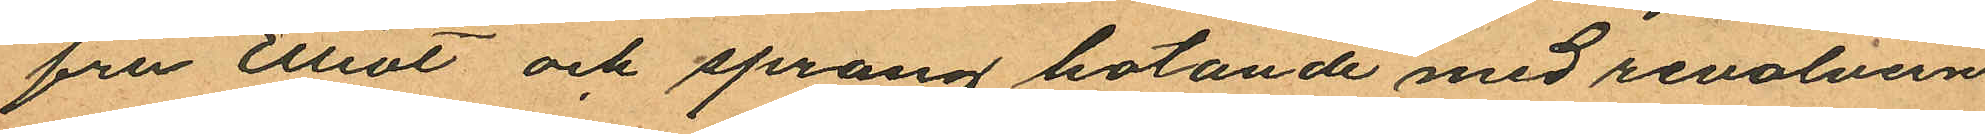fru Elliot och sprang hotande med revolvern
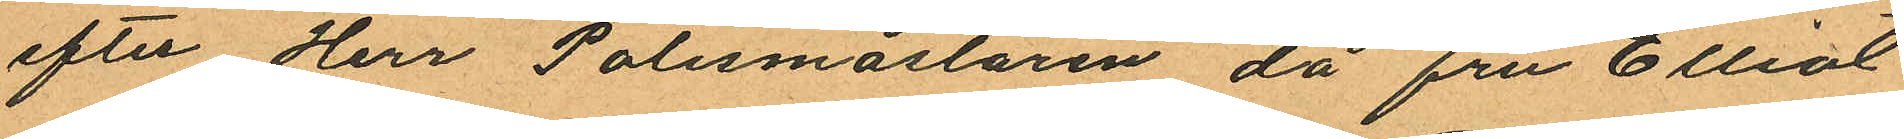efter Herr Polismästaren då fru Elliot
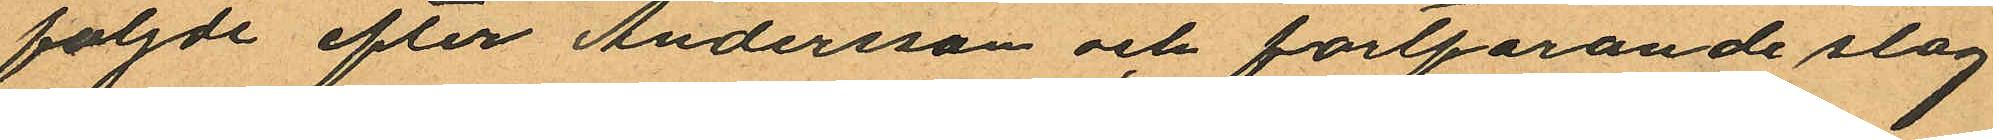följde efter Andersson och fortfarande slog
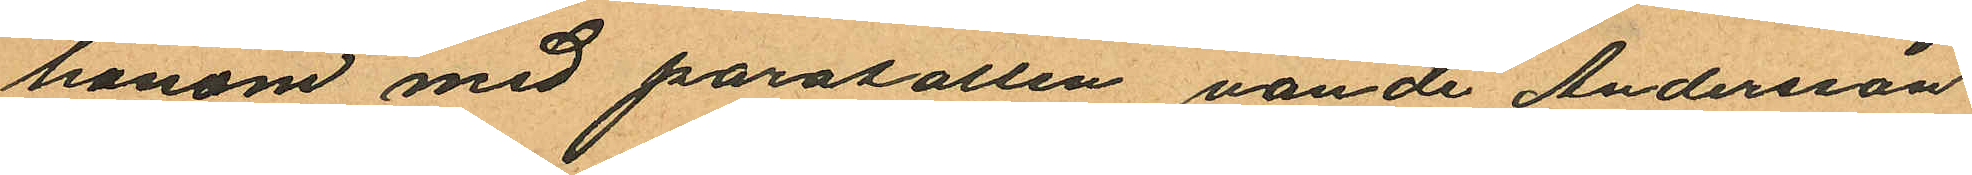honom med parasollen, vände Andersson
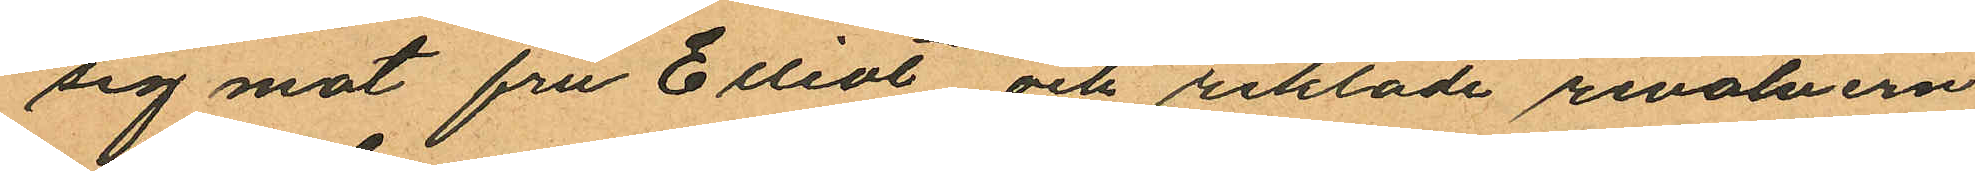sig mot fru Elliot och riktade revolvern
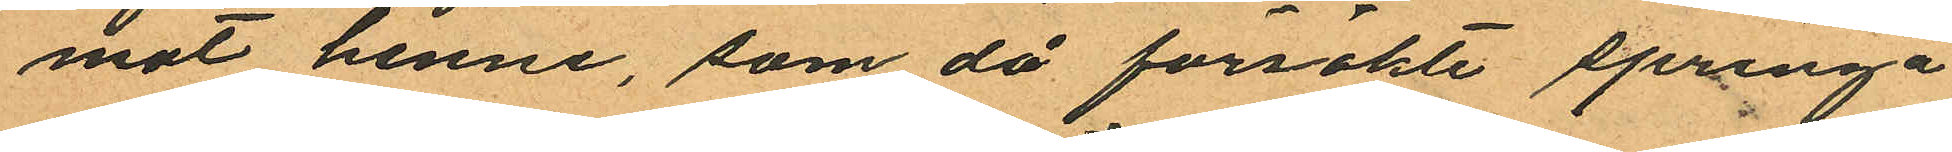mot henne, som då försökte springa
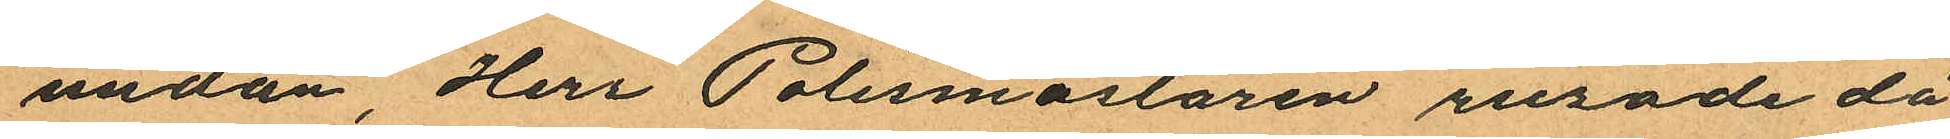undan, Herr Polismästaren rusade då
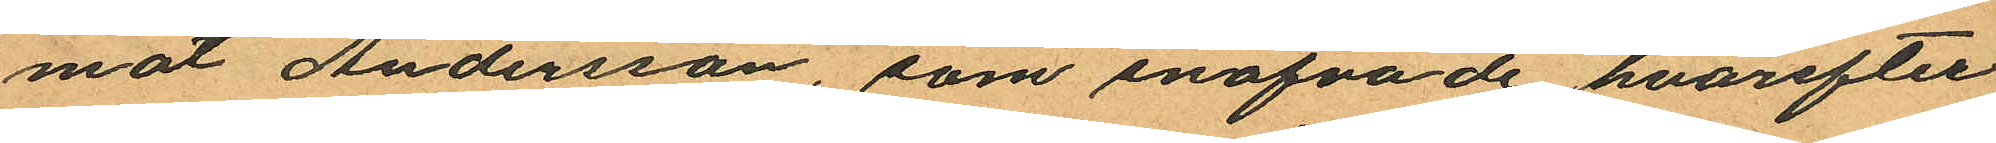mot Andersson, som snafvade hvarefter
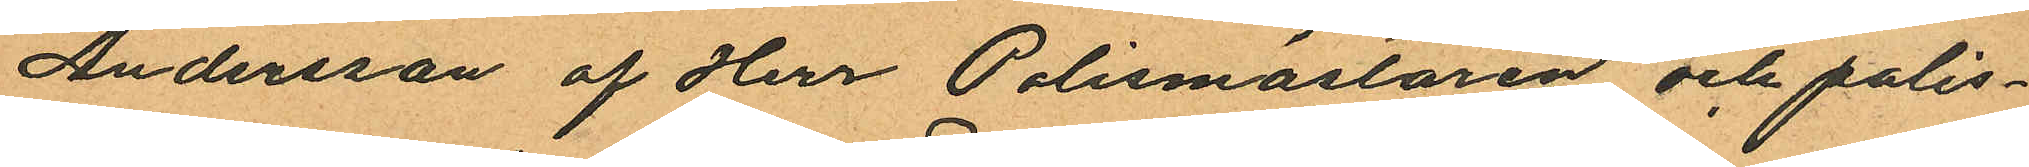Andersson af Herr Polismästaren och polis¬
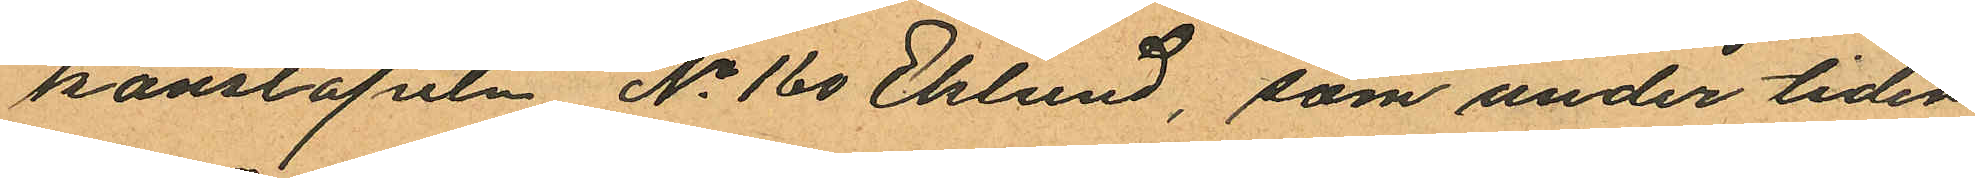konstapeln No 160 Eklund, som under tiden
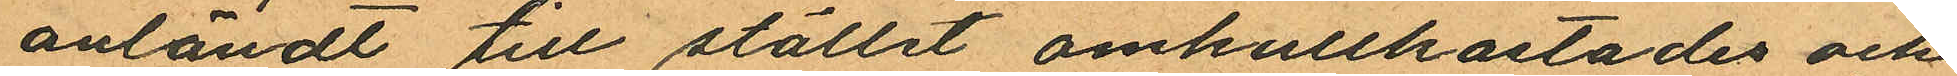anländt till stället omkullkastades och
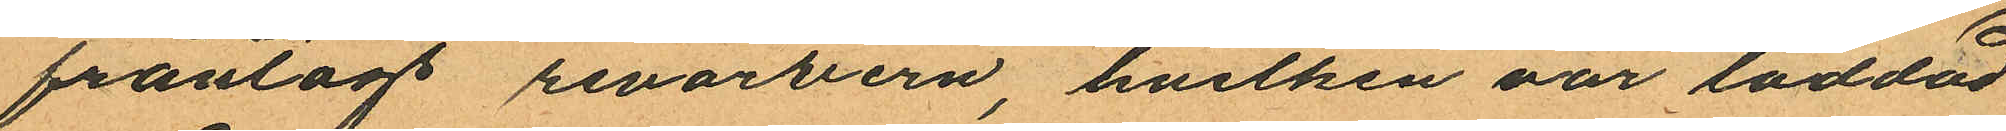fråntogs revolvern, hvilken var laddad
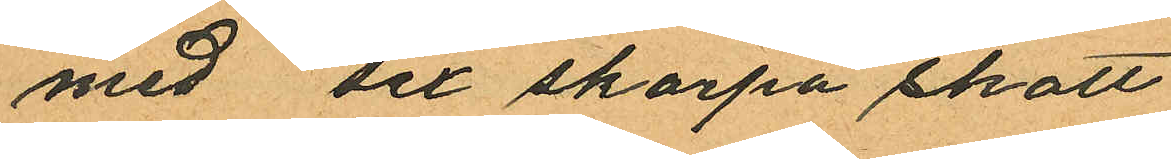med det skarpa skott.
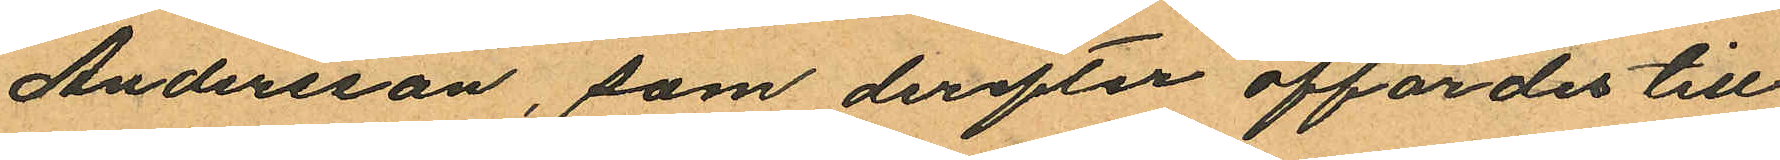Andersson, som derefter affördes till
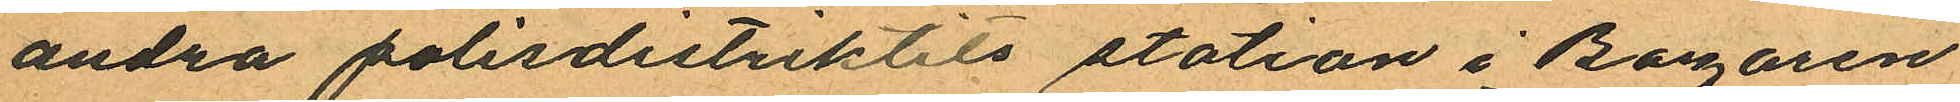andra polisdistriktets station i Bazaren
